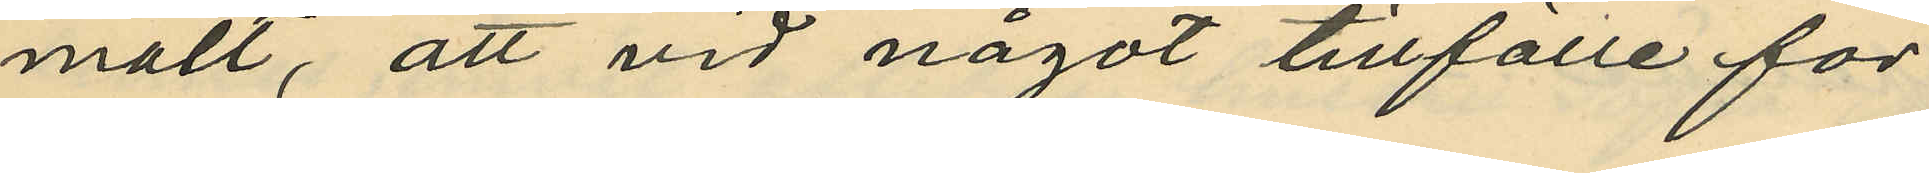mält, att vid något tillfälle för
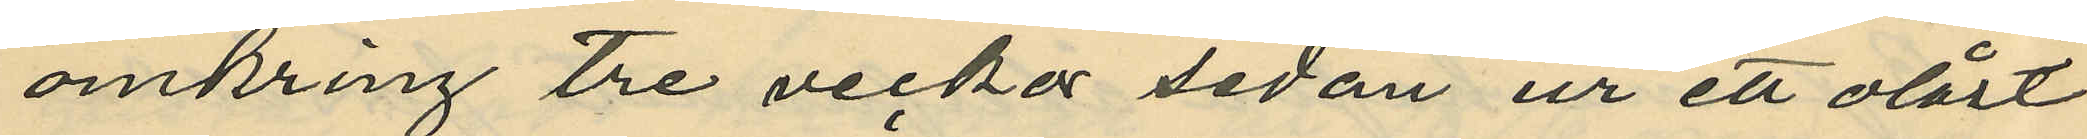omkring tre veckor sedan ur ett olåst
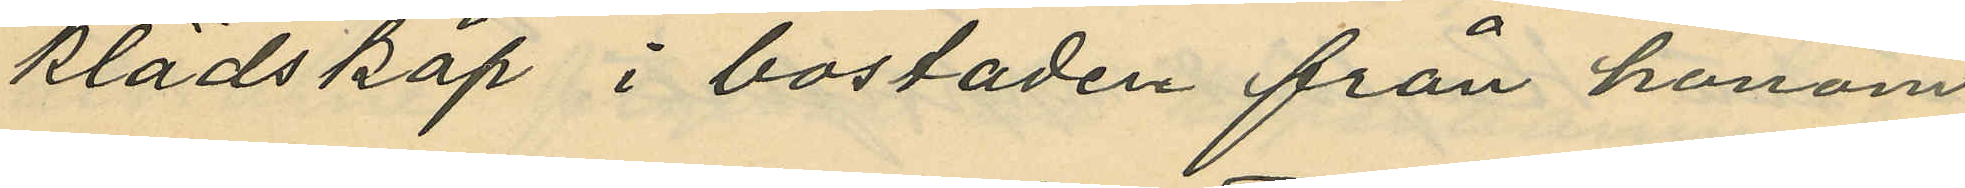klädskåp i bostaden från honom
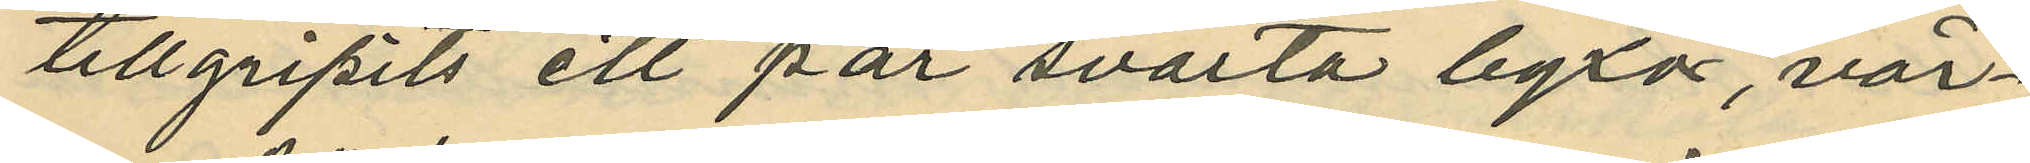tillgripits ett par svarta byxor, vär¬
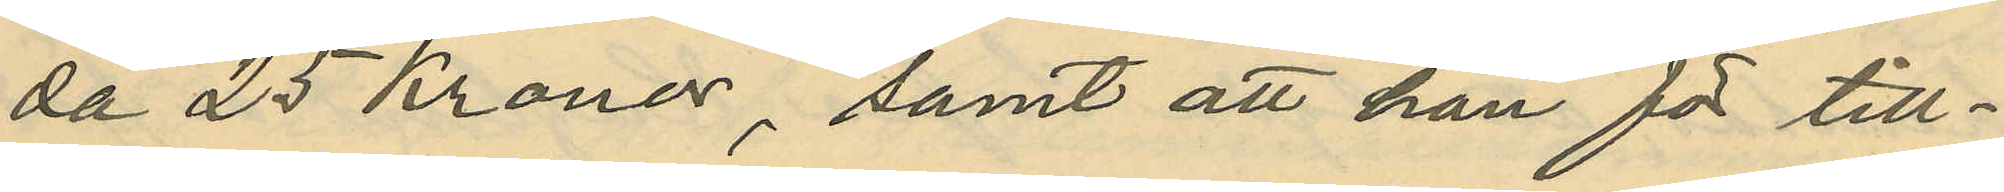da 25 Kronor, samt att han för till¬
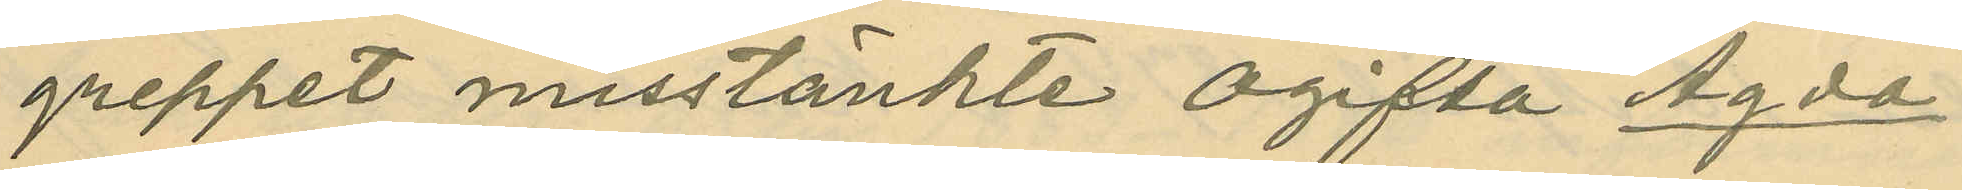greppet misstänkte ogifta Agda
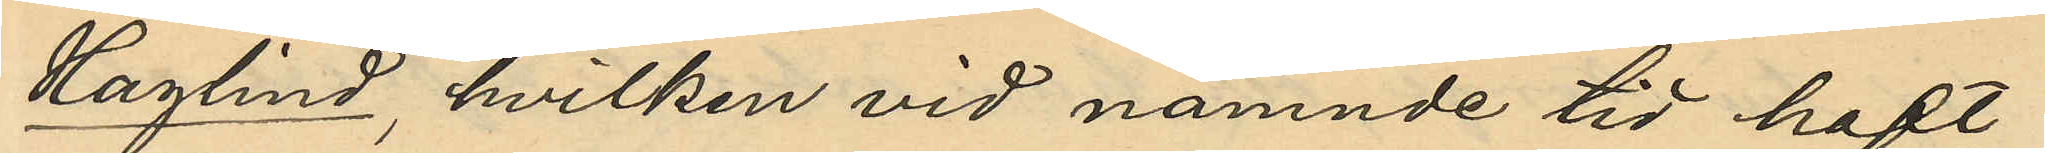Haglind, hvilken vid nämnde tid haft
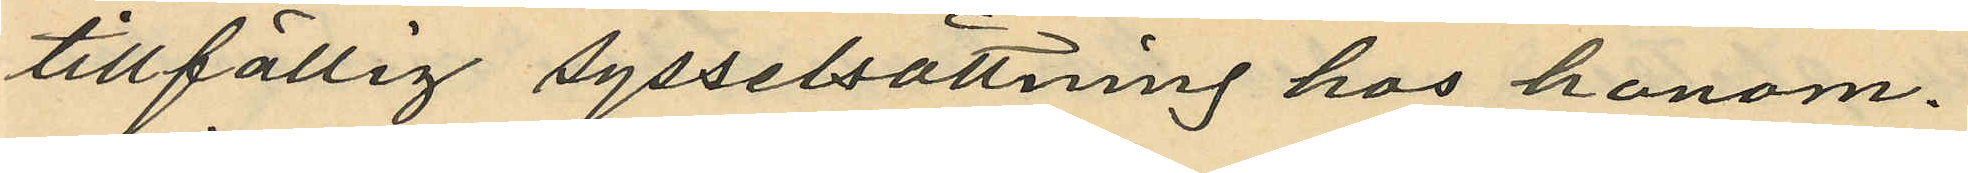tillfällig sysselsättning hos honom.
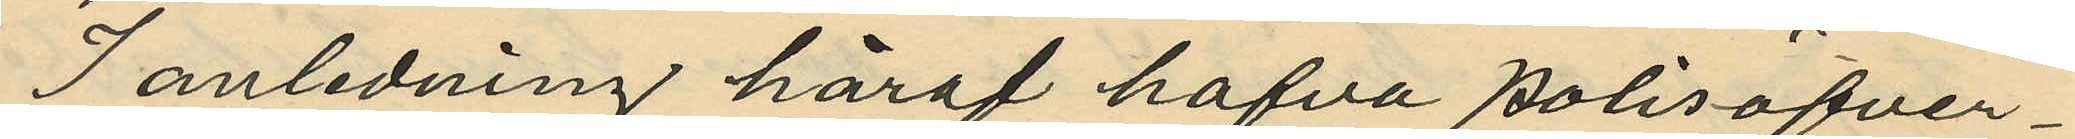I anledning häraf hafva polisöfver¬
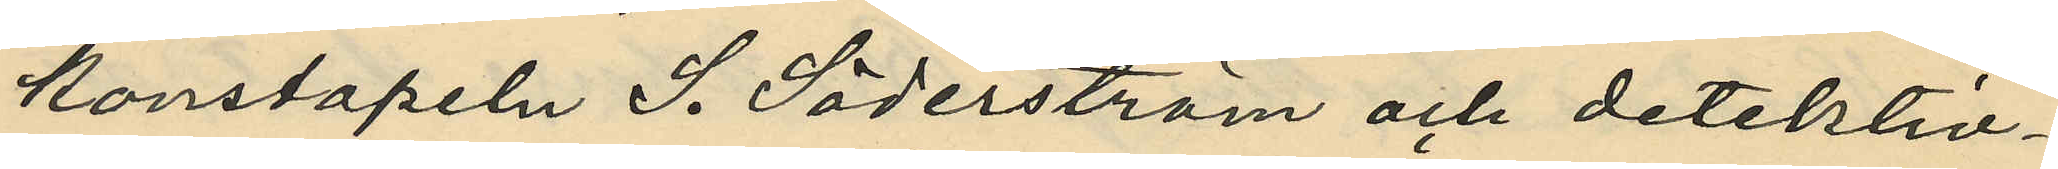konstapeln S. Söderström och detektiv¬
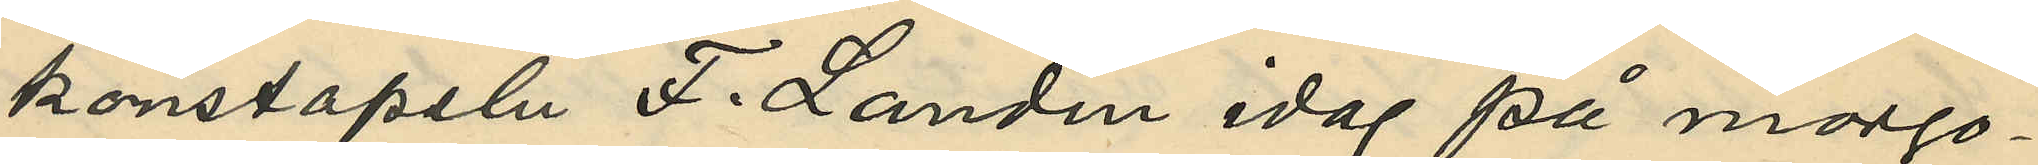konstapeln F. Landin idag på morgo¬
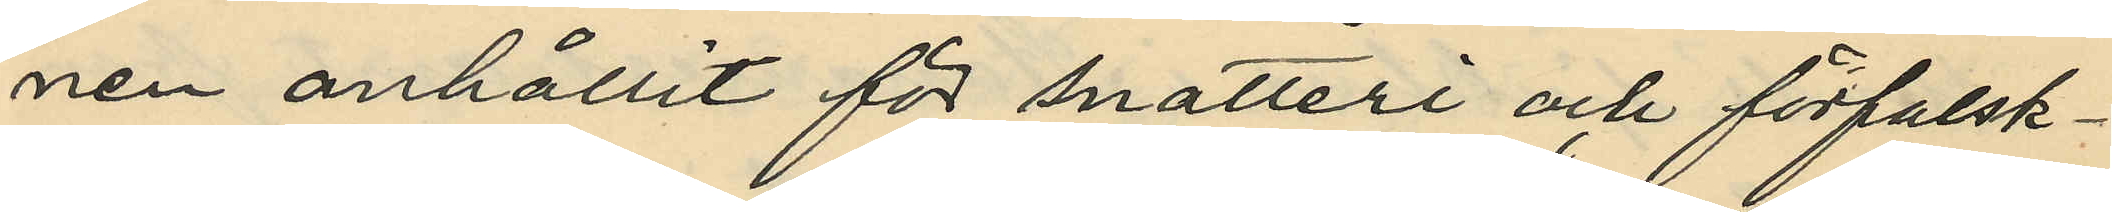nen anhållit för snatteri och förfalsk¬
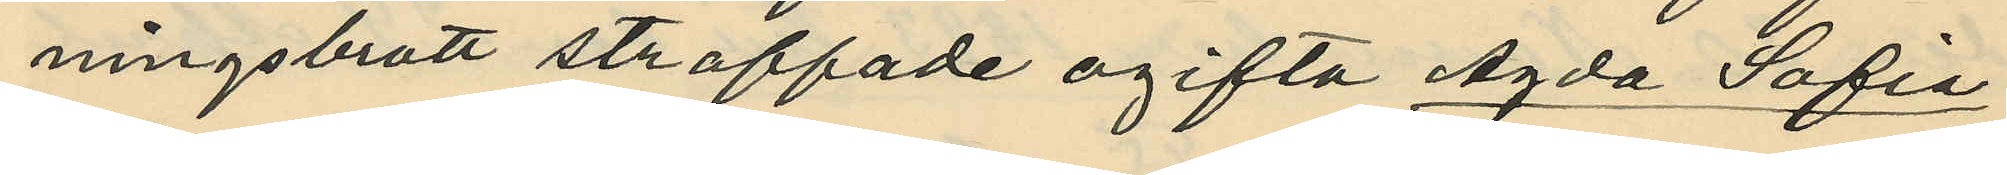ningsbrott straffade ogifta Agda Sofia
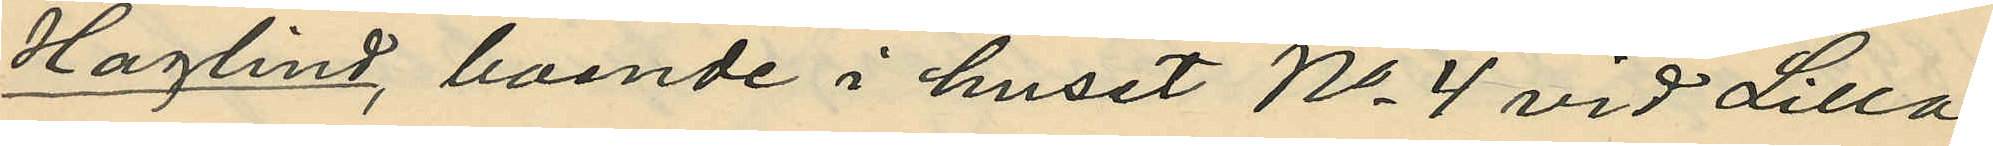Haglind, boende i huset No 4 vid Lilla
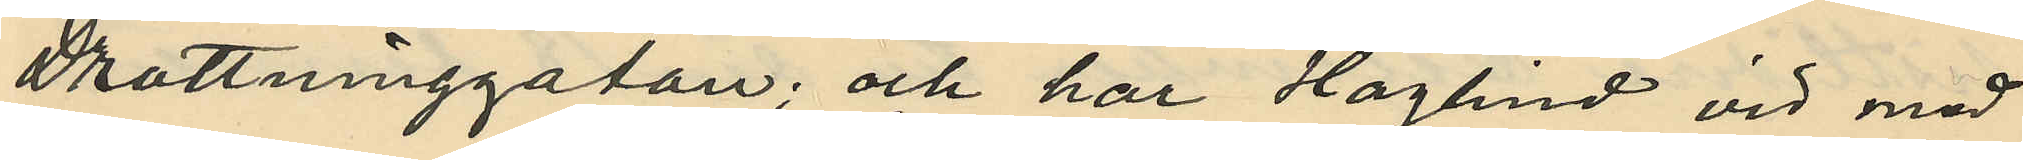Drottninggatan; och har Haglind vid med
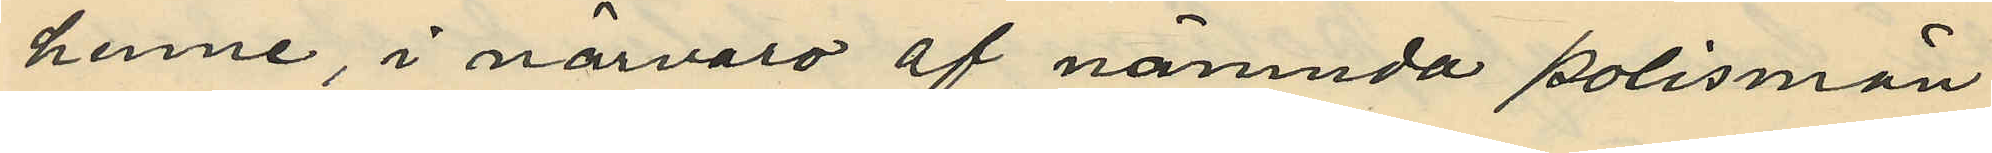henne, i närvaro af nämnda polismän
